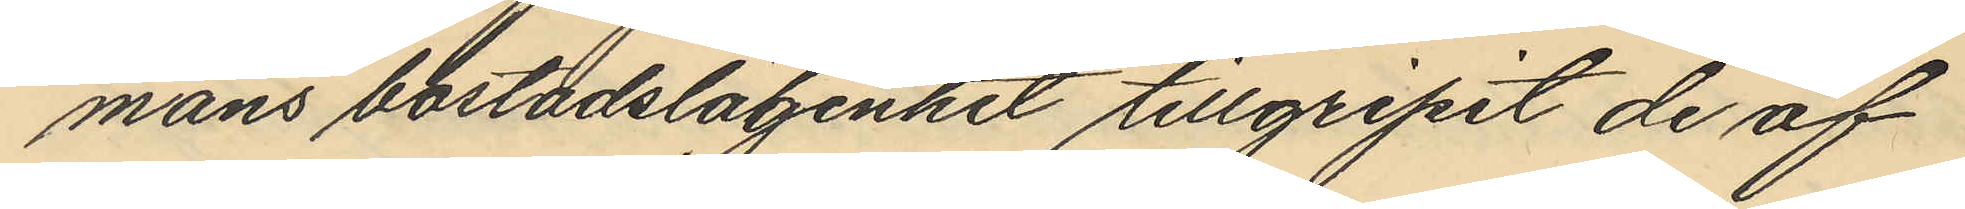mans bostadslägenhet tillgripit de af
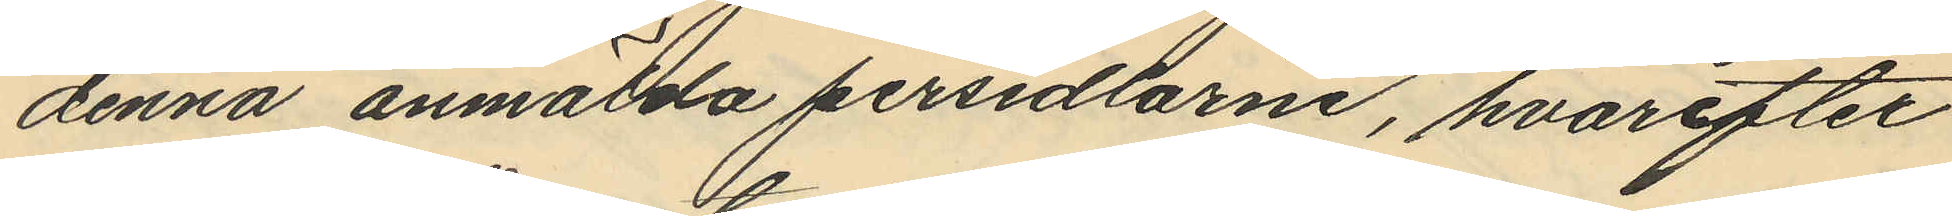denna anmälda persedlarne, hvarefter
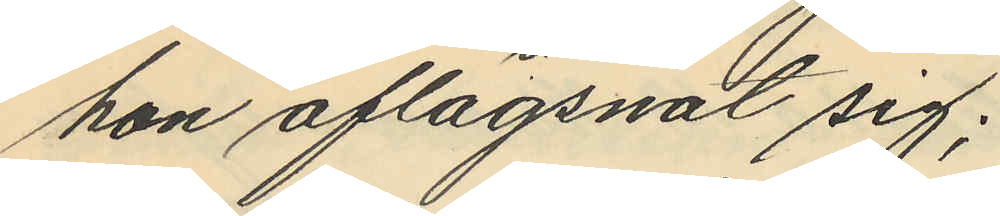hon aflägsnat sig;
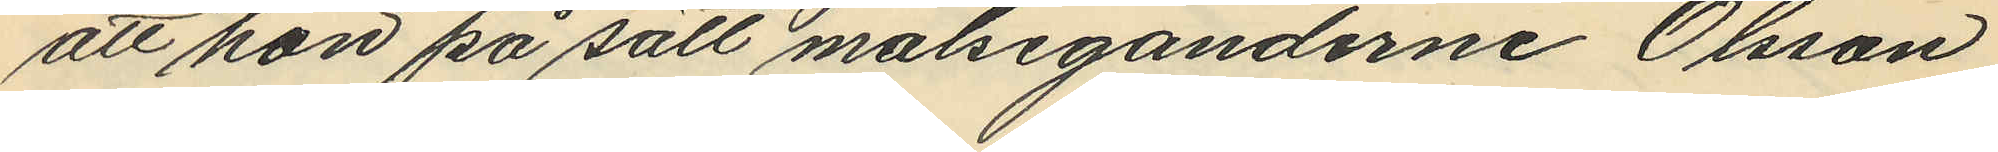att hon på sätt målseganderne Olsson
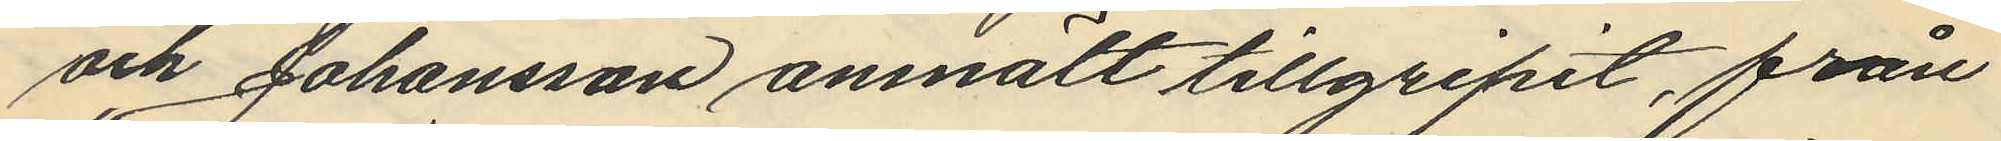och Johansson anmält tillgripit, från
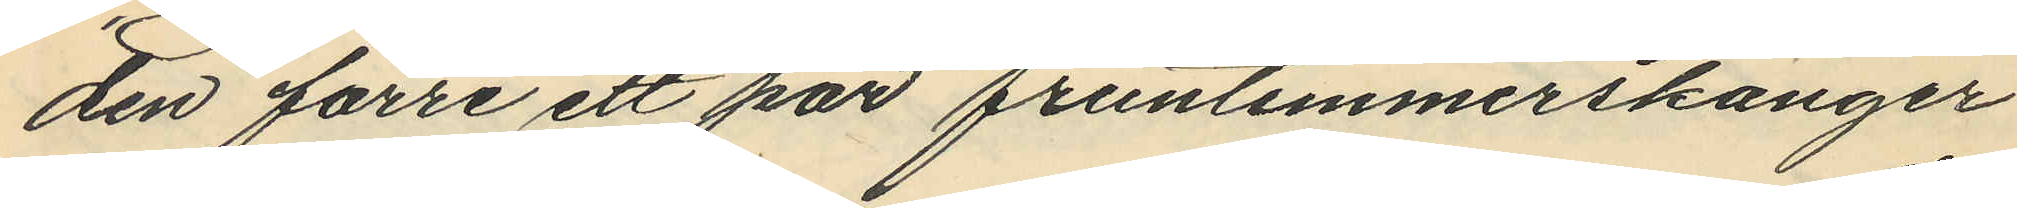den förre ett par fruntimmerskänger
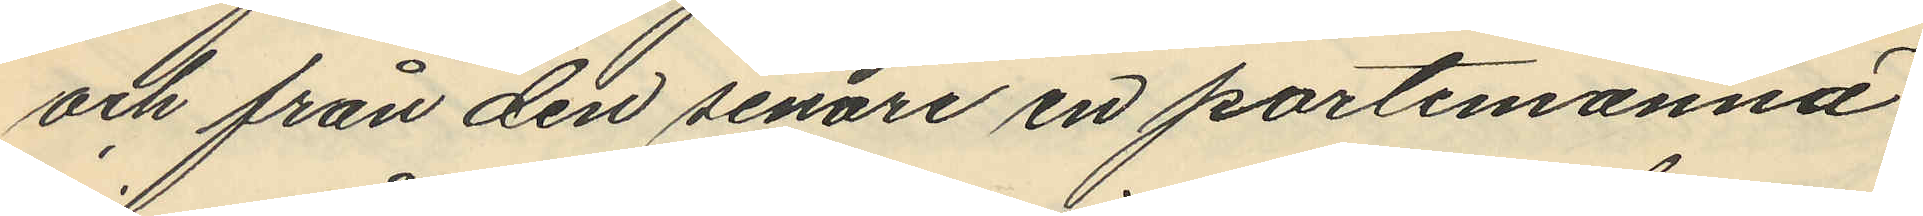och från den senare en portemonnä,
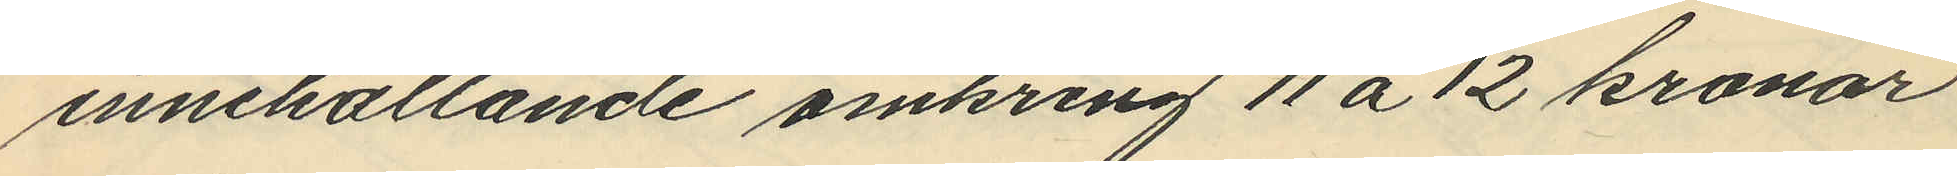innehållande omkring 11 á 12 kronor
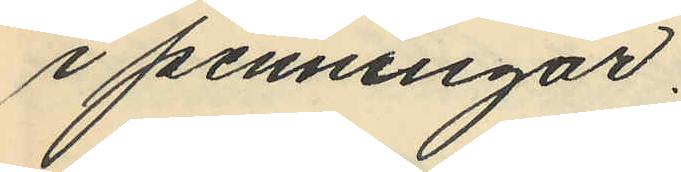i penningar.
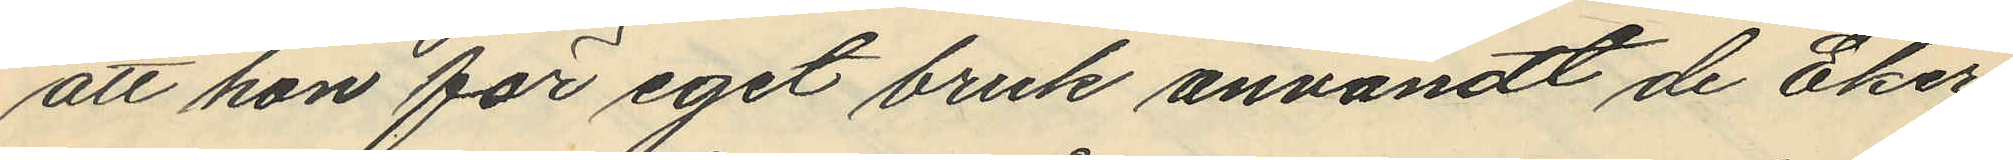att hon för eget bruk användt de Eker¬
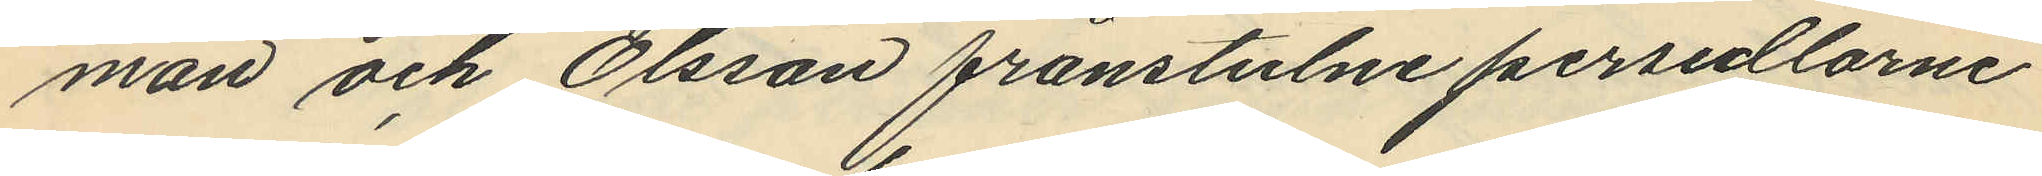man och Olsson frånstulne persedlarne
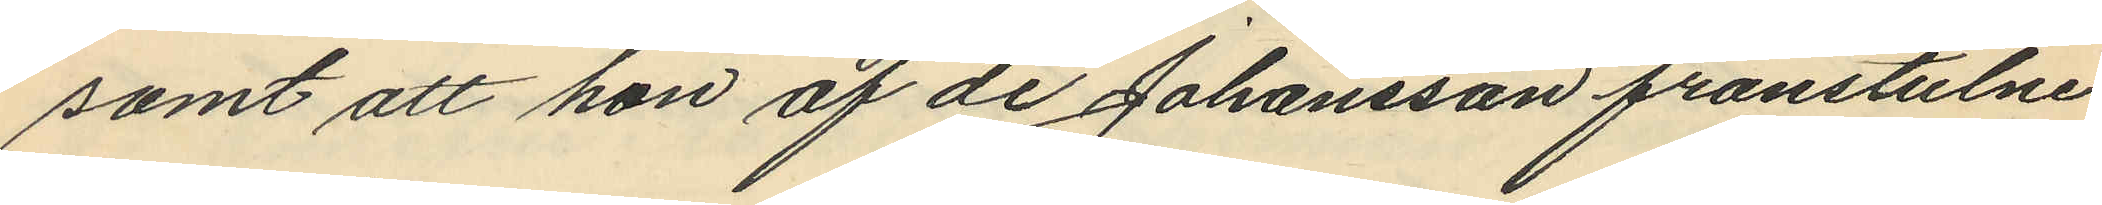samt att hon af de Johansson frånstulne
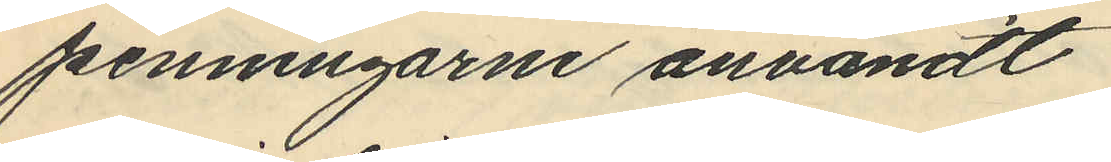penningarne användt
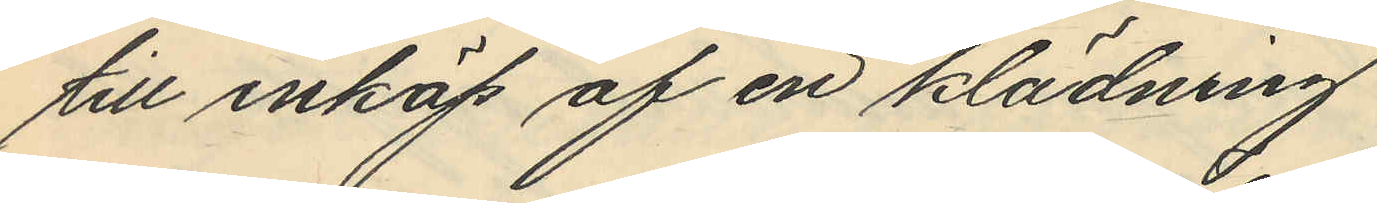till inköp af en klädning
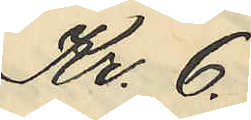Kr. 6.
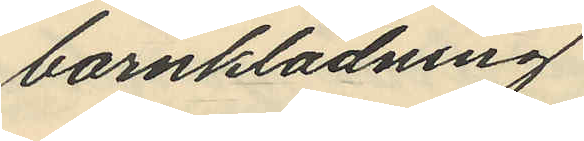barnklädning
